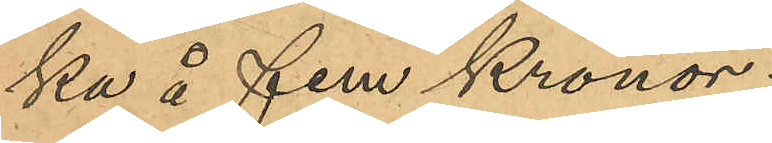ka å fem Kronor.
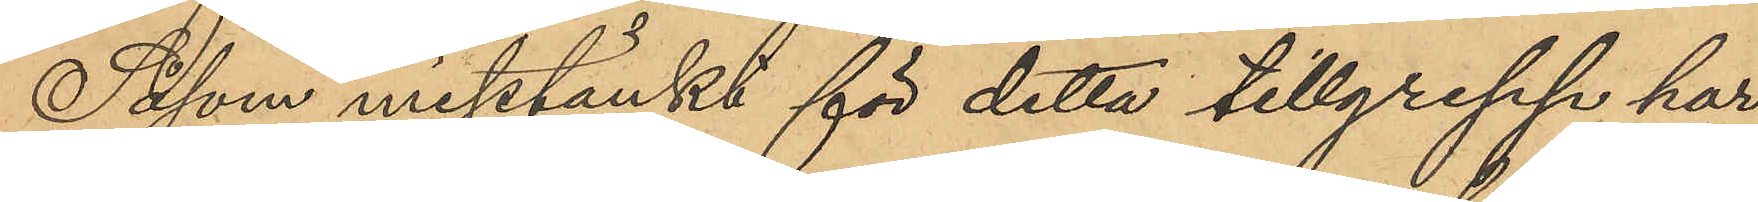Såsom misstänkt för detta tillgrepp har
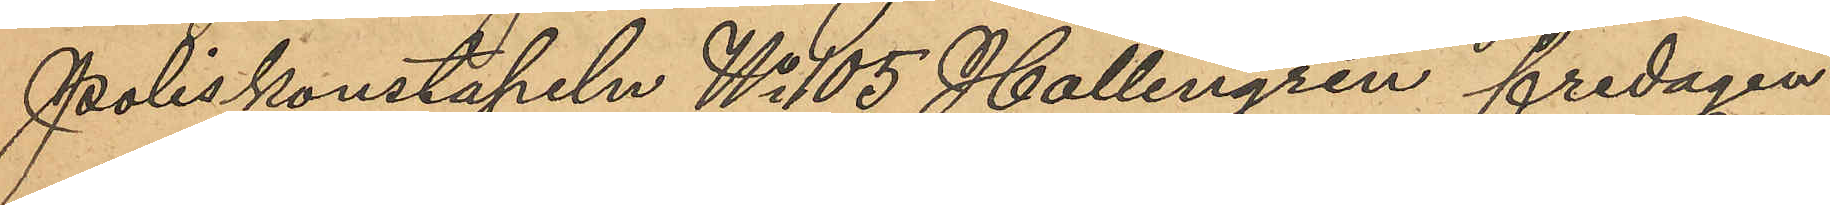Poliskonstapeln No 105 Hallengren fredagen
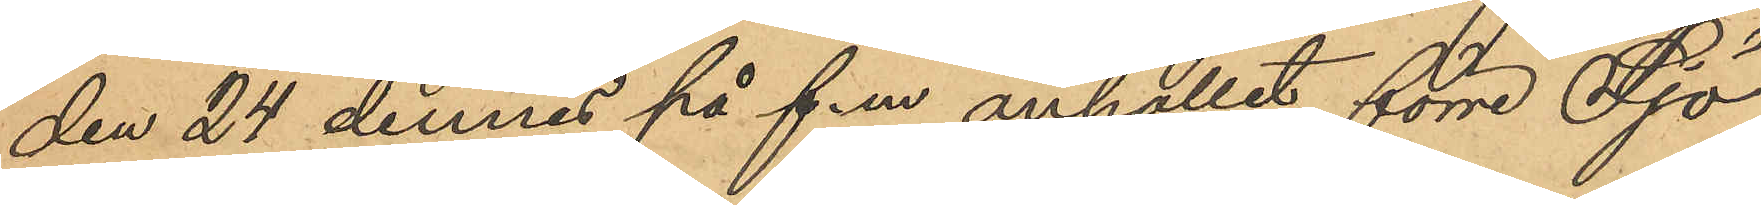den 24 dennes på f.m anhållit förre Sjö¬
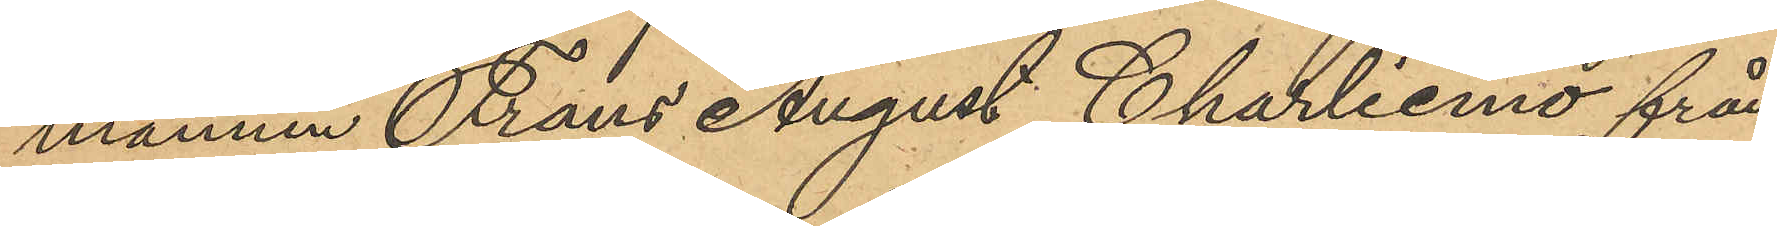mannen Frans August Charliemo från
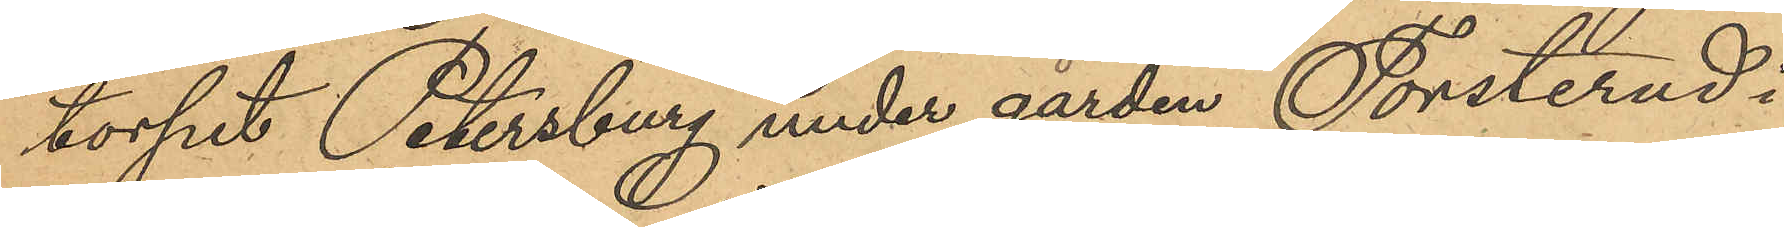torpet Petersberg under gården Torsterud i
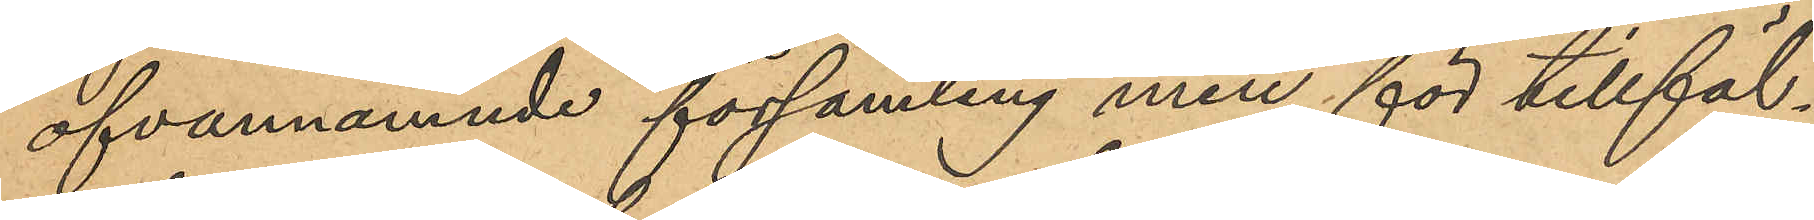ofvannämnde församling men för tillfäl¬
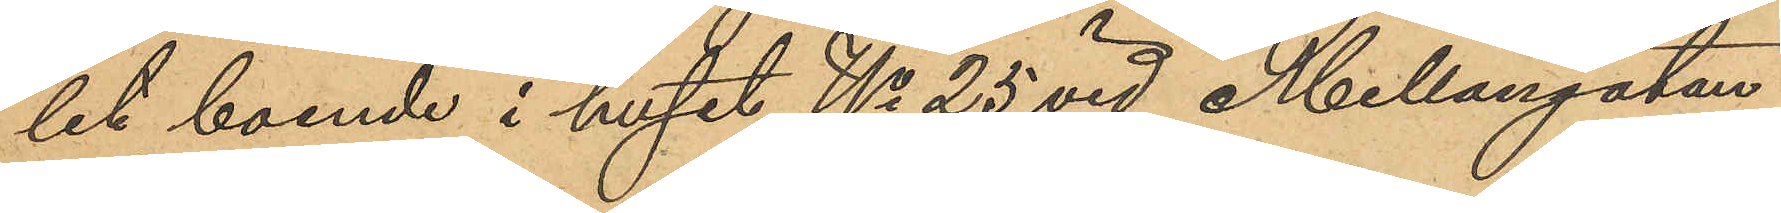let boende i huset No 25 vid Mellangatan
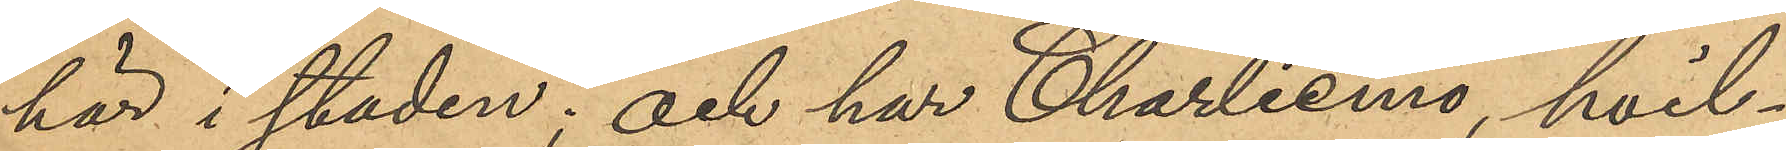här i staden; och har Charliemo, hvil¬
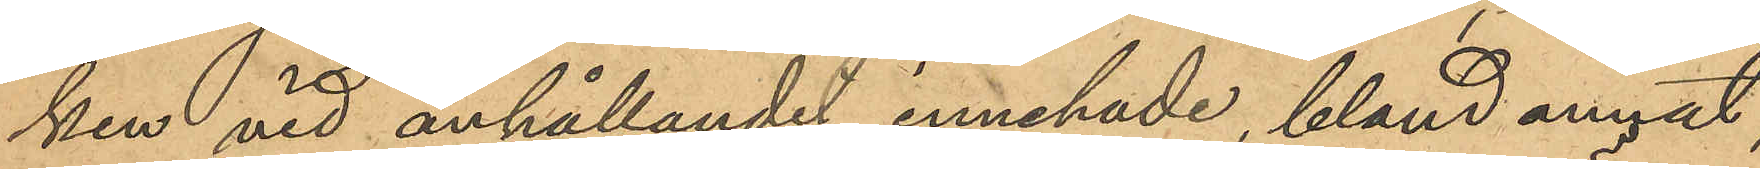ken vid anhållandet innehade, bland annat,
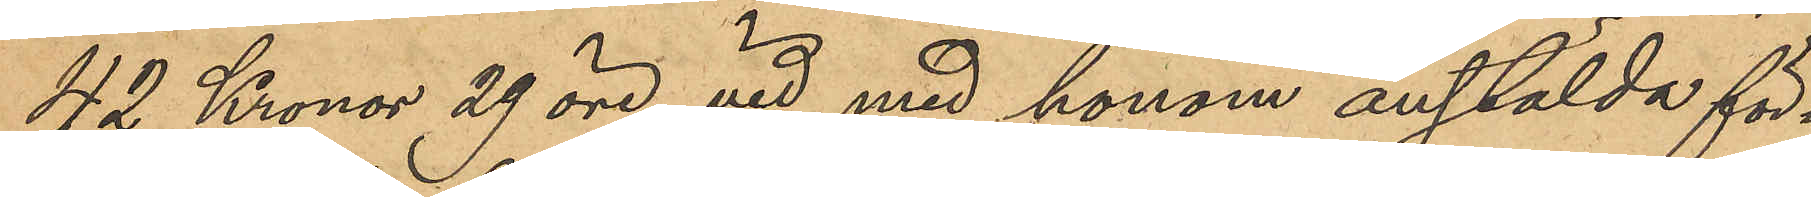42 Kronor 29 öre, vid med honom anstälda för¬
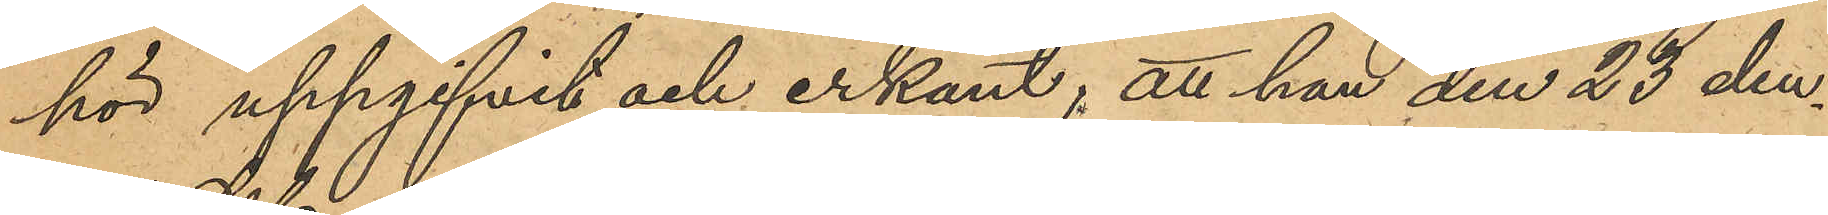hör uppgifvit och erkänt; att han den 23 den¬
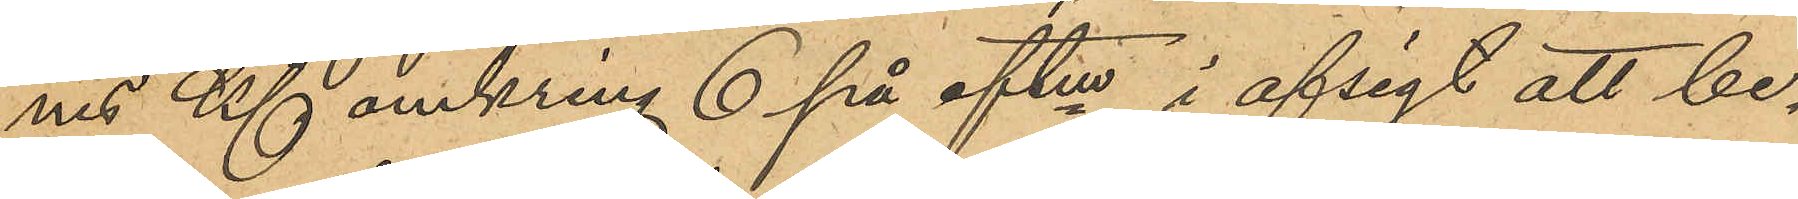nes Kl omkring 6 på eftm, i afsigt att be¬
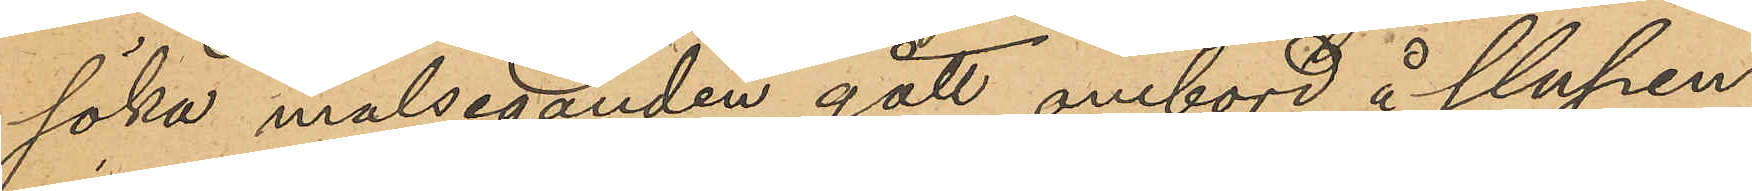söka målseganden, gått ombord å slupen
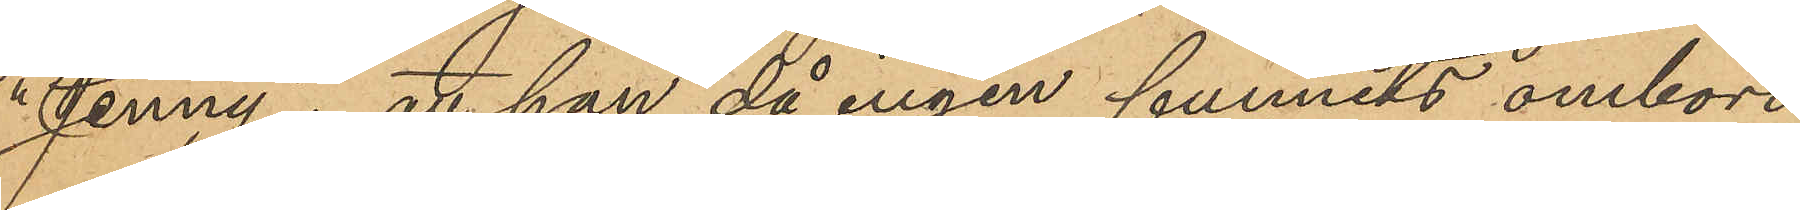"Jenny"; att han, då ingen funnits ombord
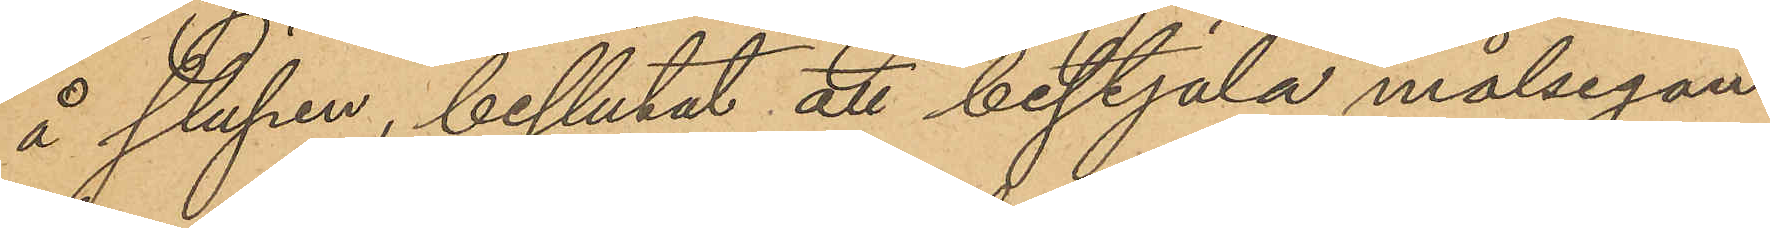å slupen, beslutat att bestjäla målsegan¬
